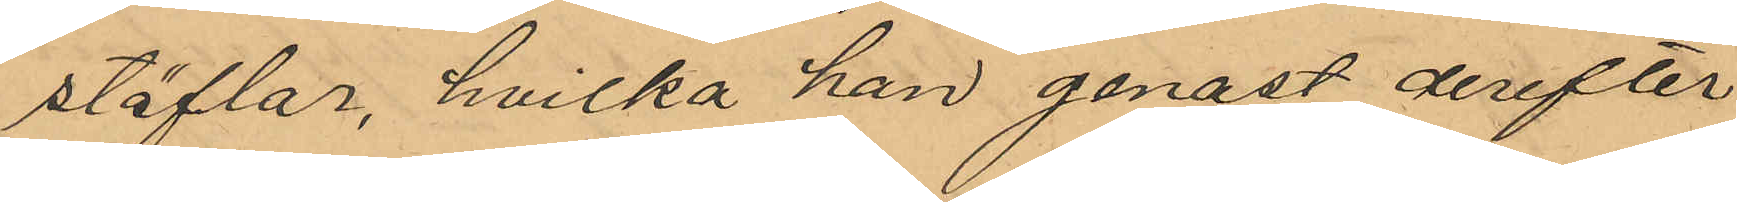stöflar, hvilka han genast derefter
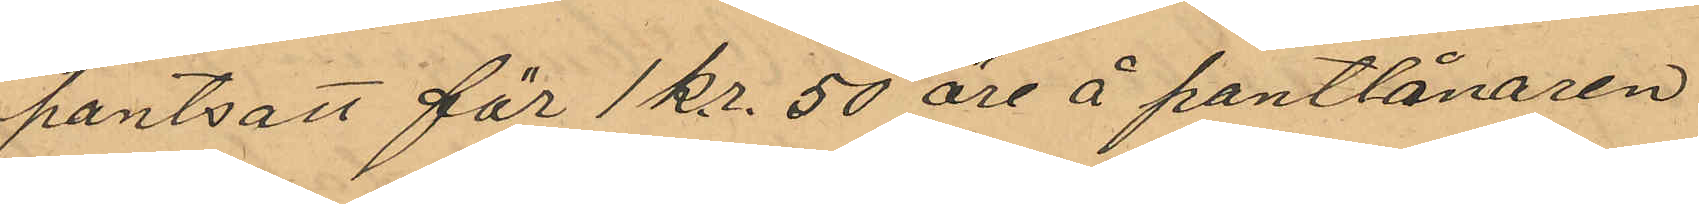pantsatt för 1 kr. 50 öre å pantlånaren
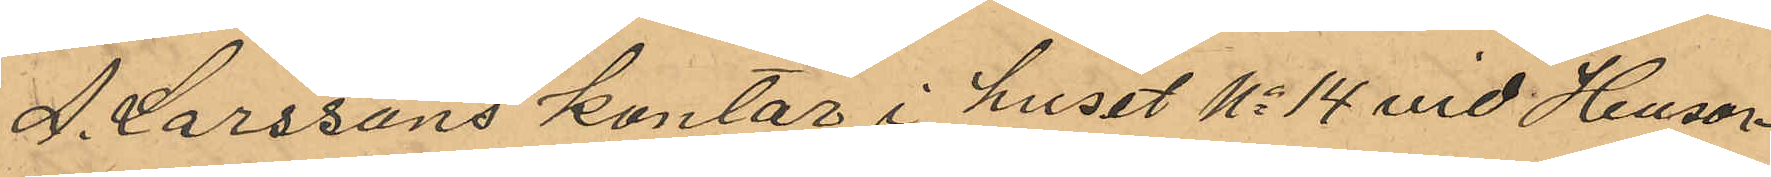A. Larssons kontor i huset No 14 vid Husar¬
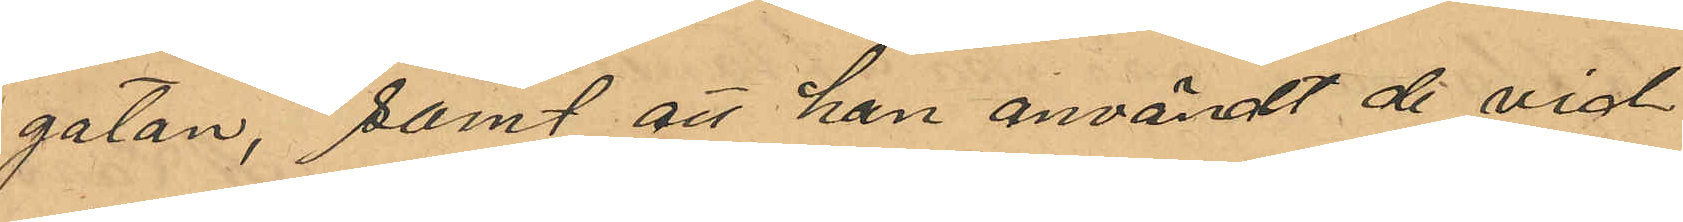gatan, samt att han användt de vid
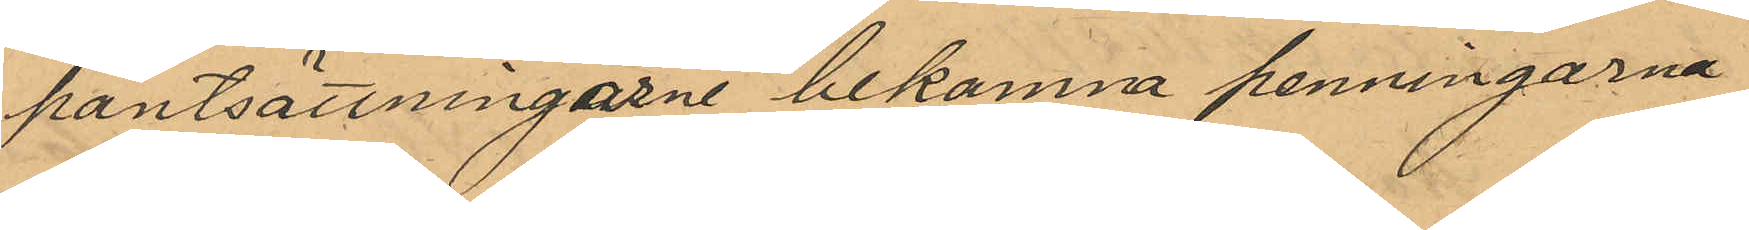pantsättningen bekomna penningarna
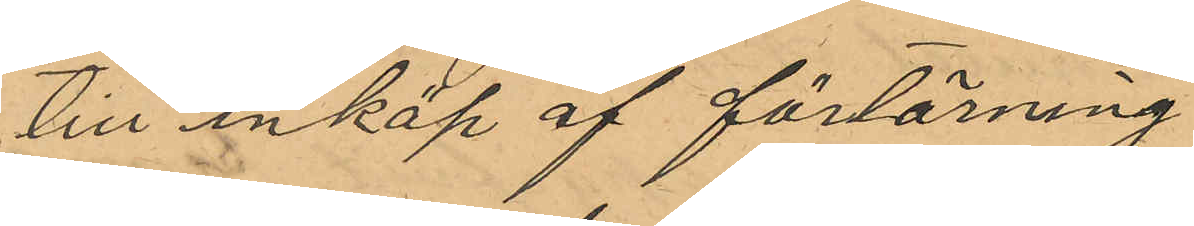till inköp af förtäring.
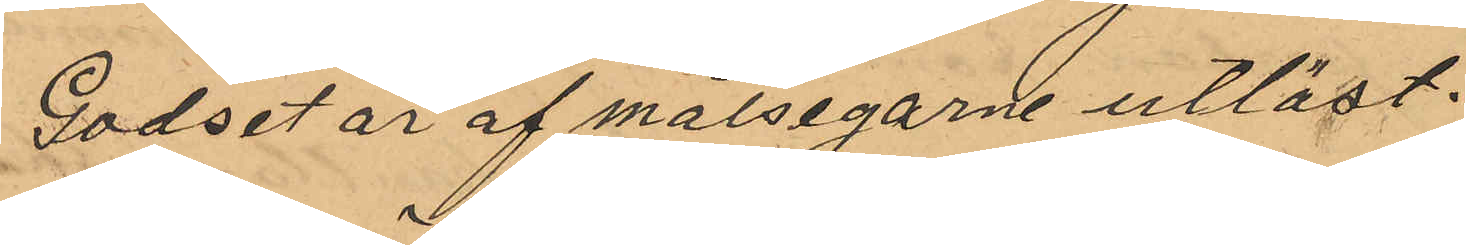Godset är af målsegarne utlöst.
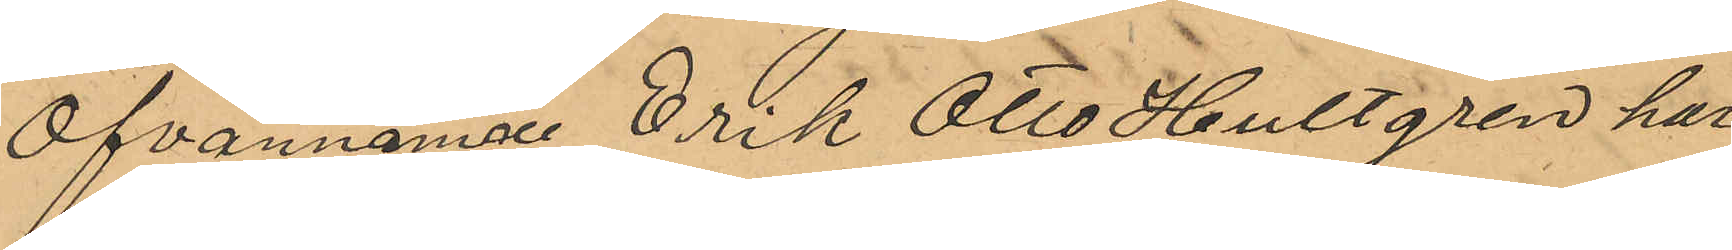Ofvannämnde Erik Otto Hultgren har
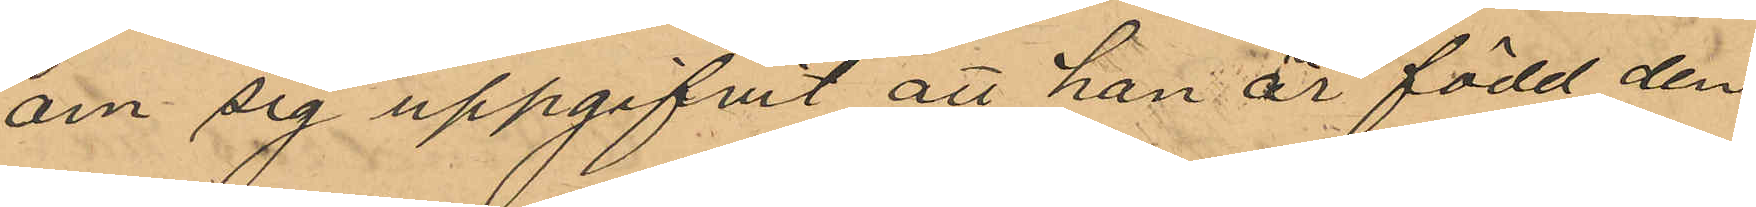om sig uppgifvit att han är född den
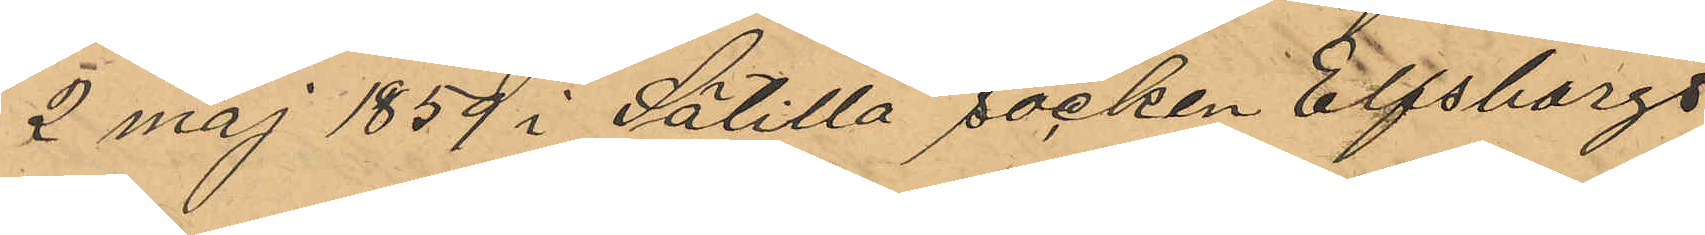2 maj 1859 i Sätilla socken Elfsborgs
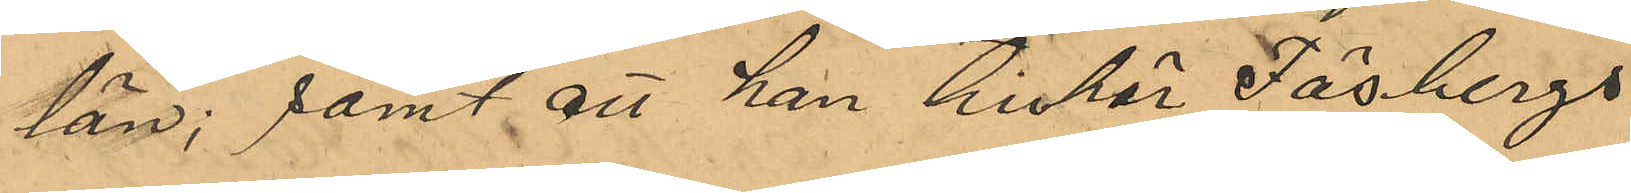län; samt att han tillhör Fäsbergs
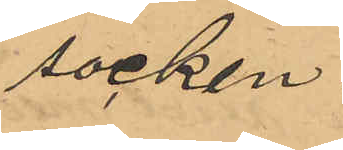socken.
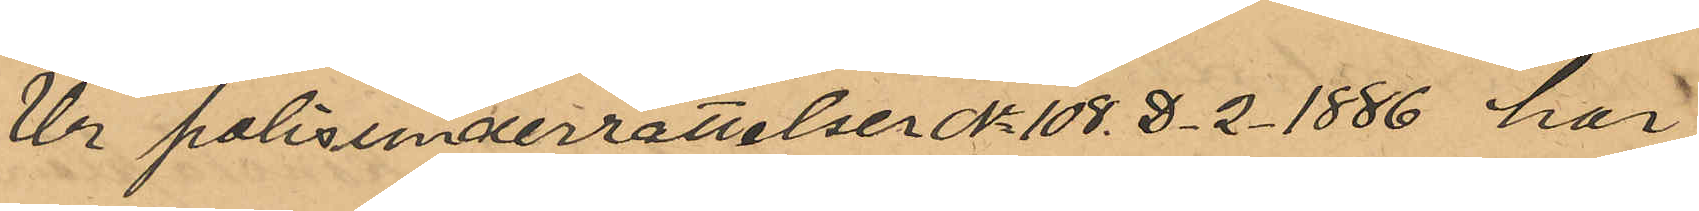Ur Polisunderrättelser Nr 108. D. 2. 1886 har
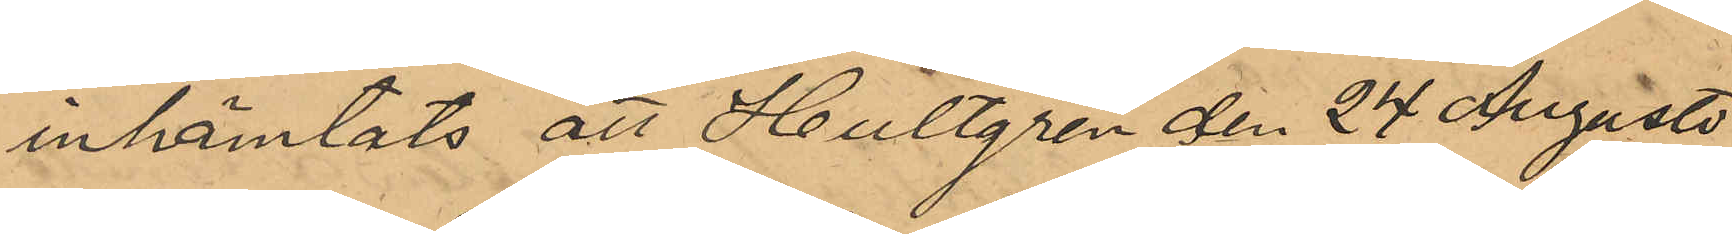inhämtats att Hultgren den 24 Augusti
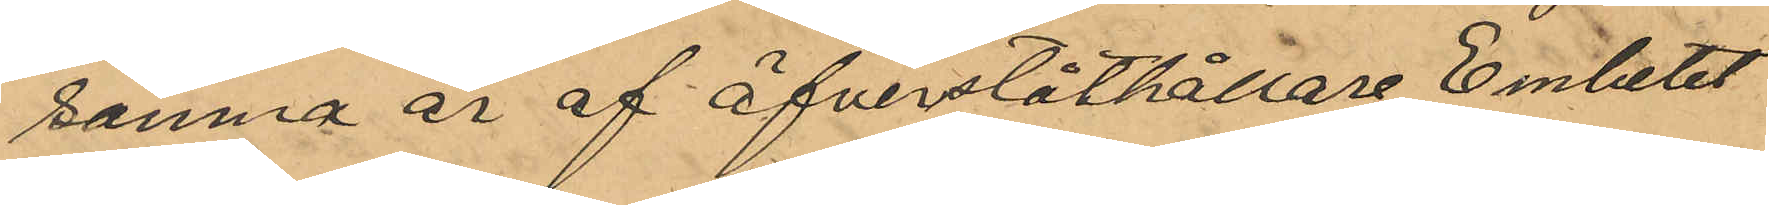samma år af Öfverståthållare Embetet
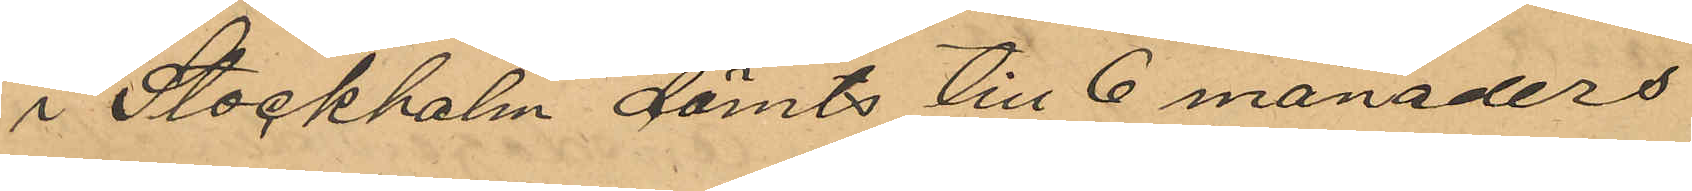i Stockholm dömts till 6 månaders
